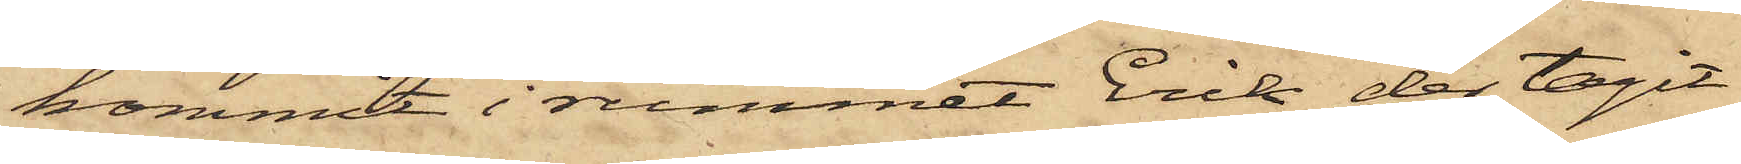kommit i rummet Erik der tagit
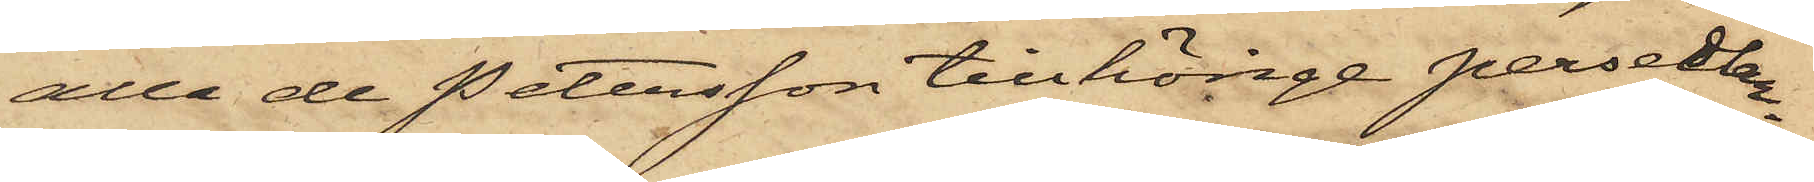alla de Petersson tillhörige persedlar¬
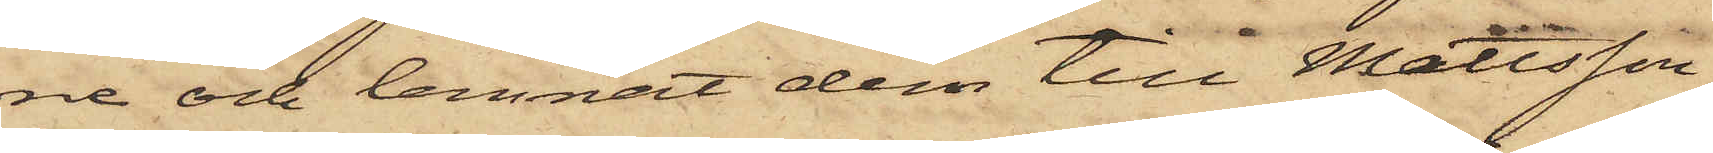ne och lemnat dem till Mattsson,
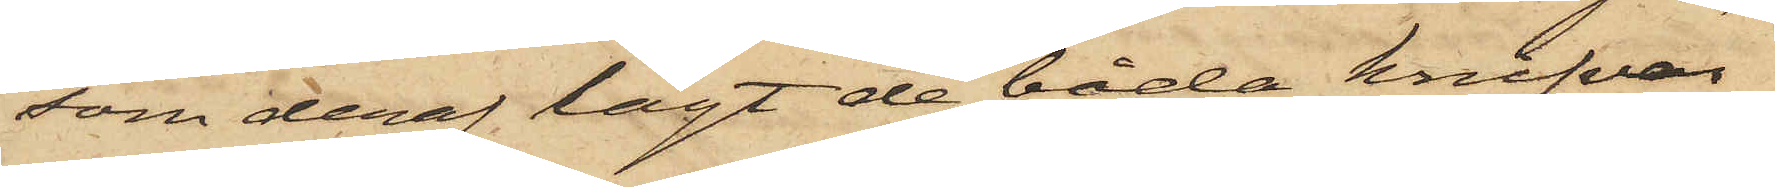som deraf lagt de båda knifvar¬
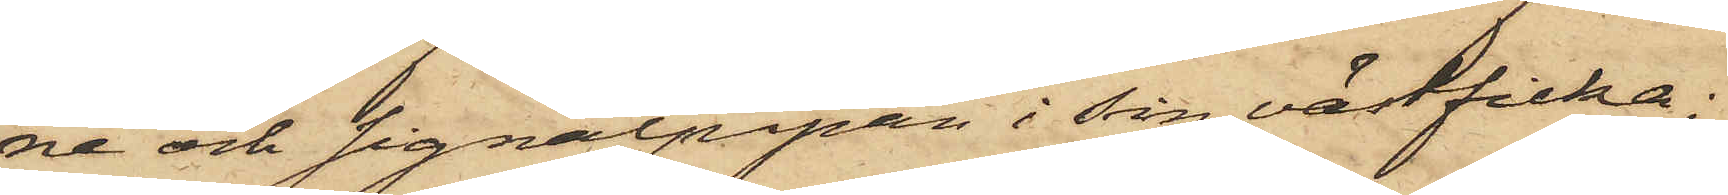ne och signalpipan i sin västficka;
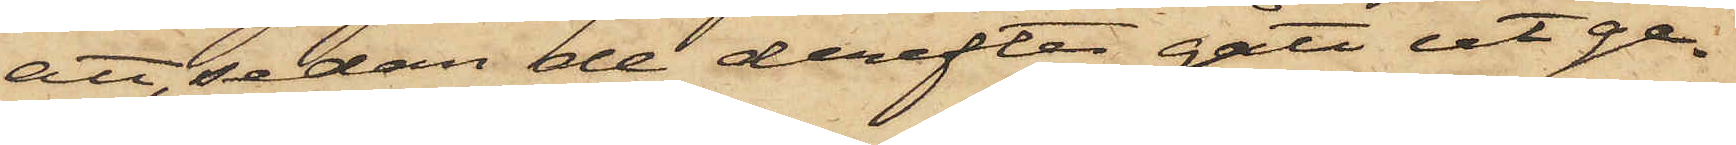att, sedan de derefter gått ut ge¬
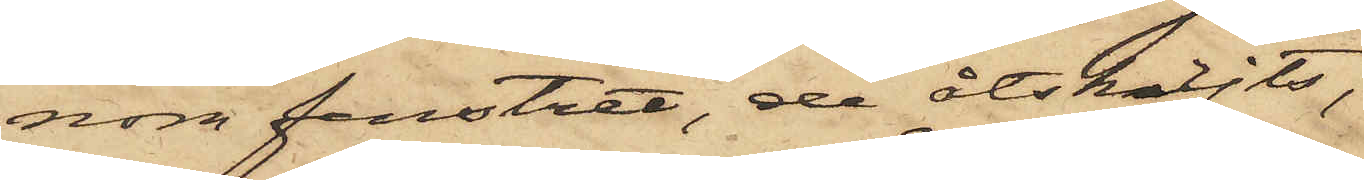nom fönstret, de åtskiljts,
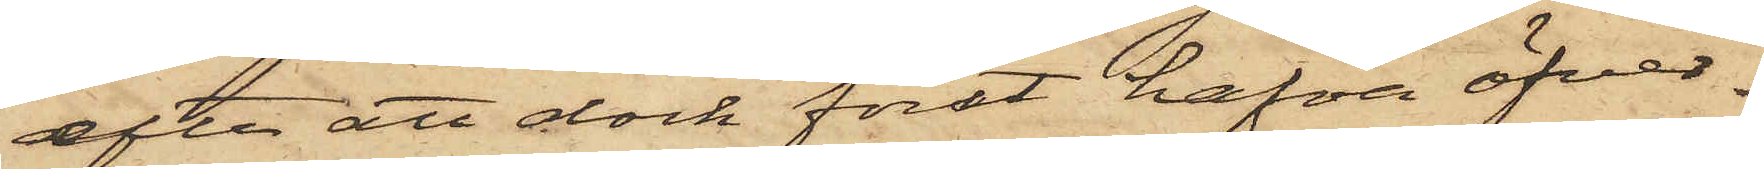efter att dock förut hafva öfver¬
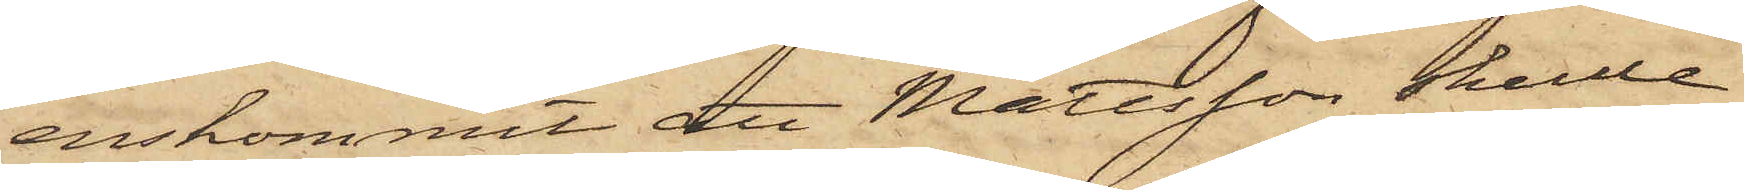enskommit, att Mattsson skulle
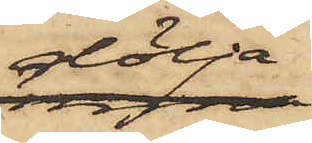dölja
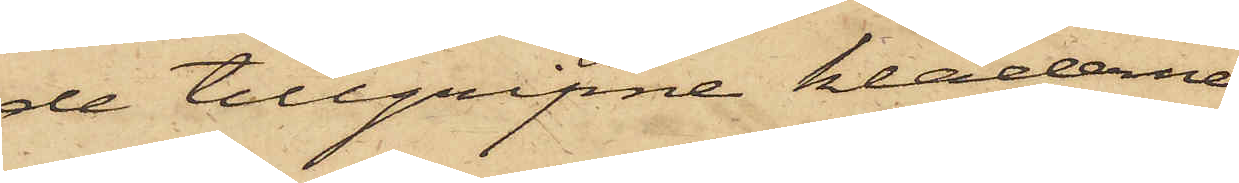de tillgripne kläderne
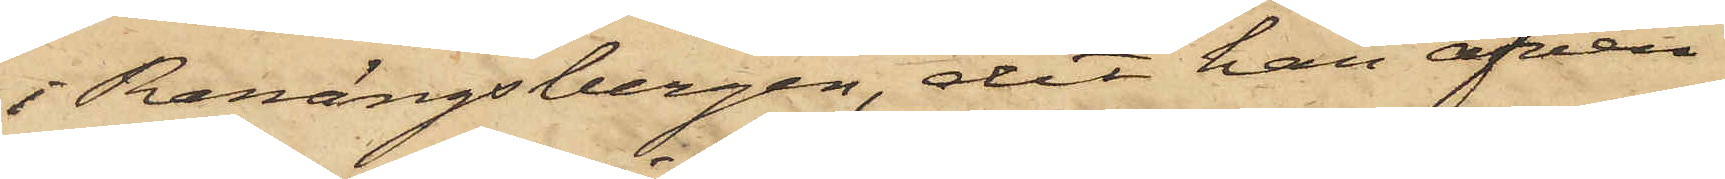i Ranängsbergen, dit han äfven
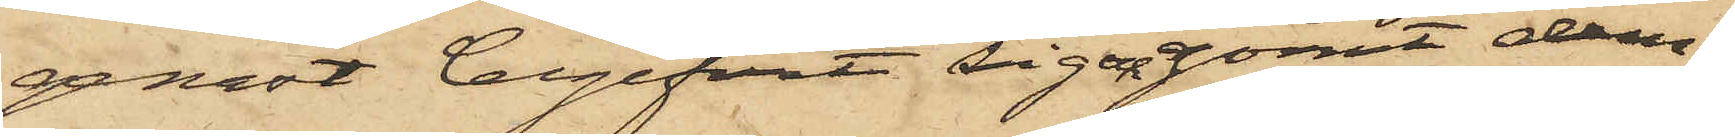genast begifvit sig och gömt dem,
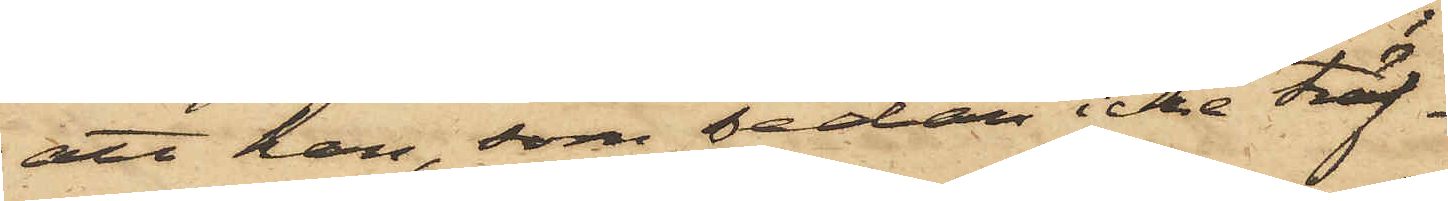att han, som sedan icke träf¬
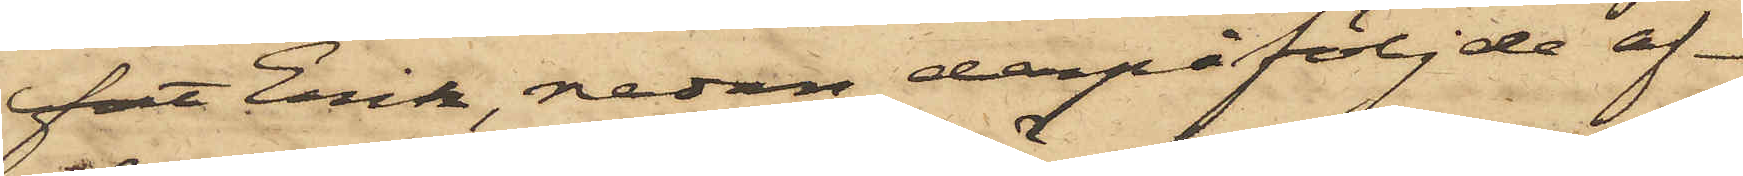fat Erik, redan derpåföljde af¬
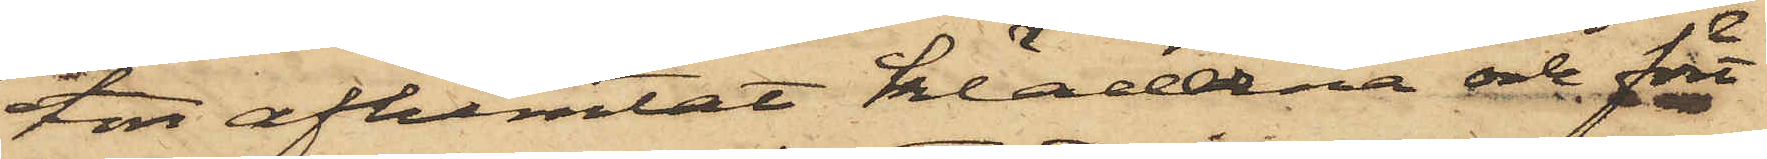ton afhemtat kläderna och fört
